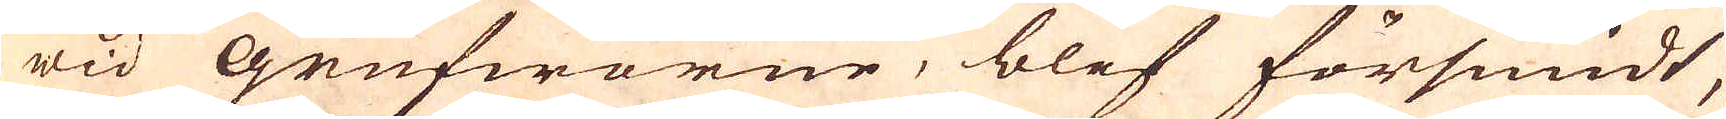wid Grufworne, blef försmidt,
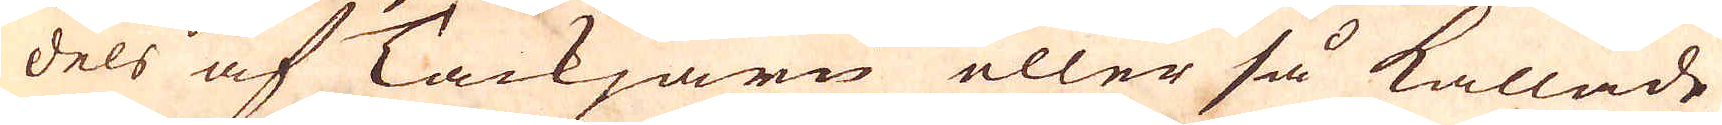dels af Tackjärn eller så kallade
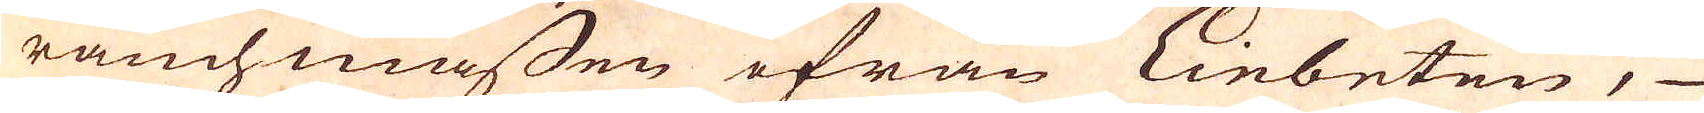räuchmassen ifrån Einbeten,
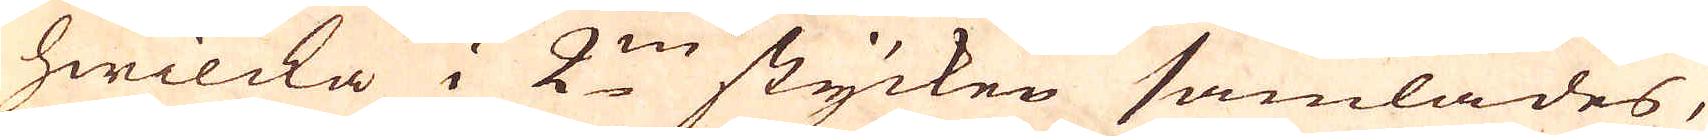hwilcka i 2:ne stycken samlades,
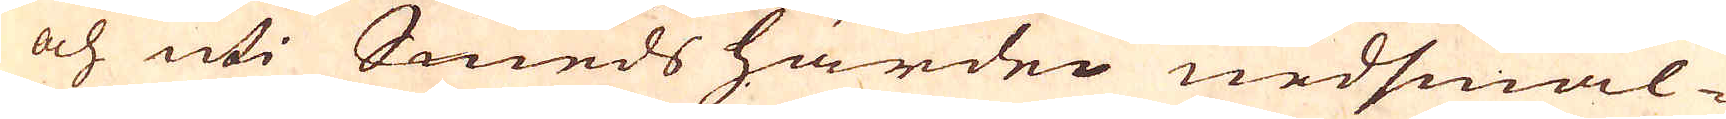och uti Smeds härden nedsmäl-
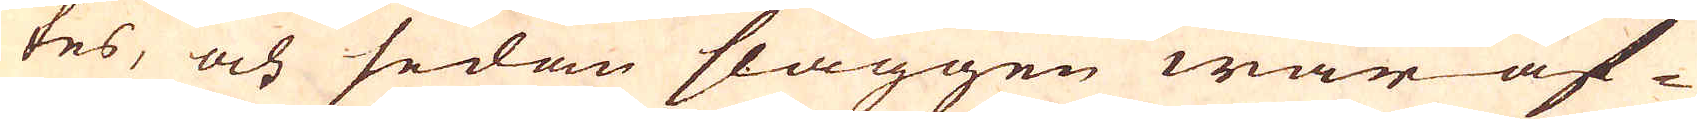tes, och sedan slaggen war af-
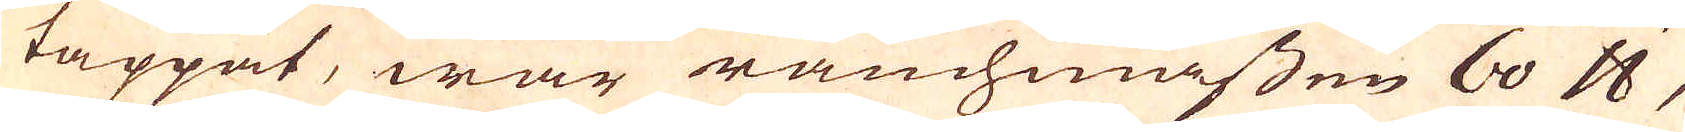tappat, war räuchmassen 60 skålpund,
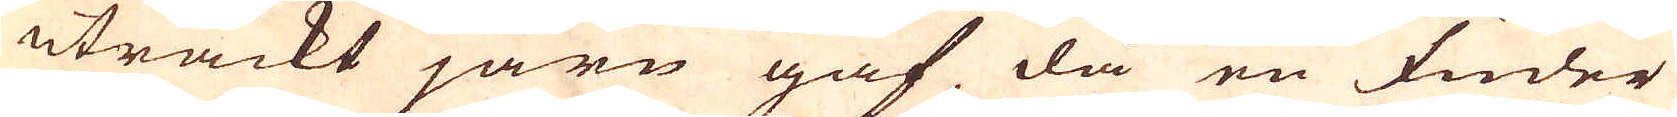uträckt järn gaf då en fuder
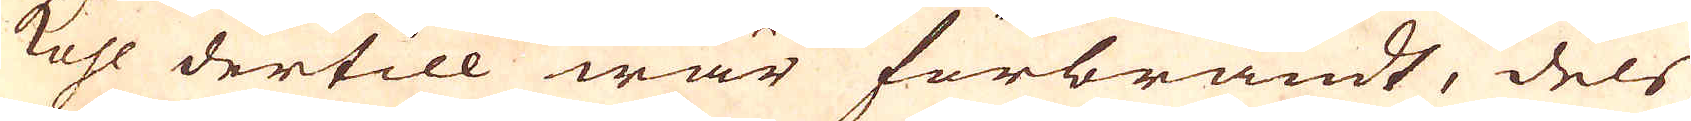kohl dertill war förbrändt, dels
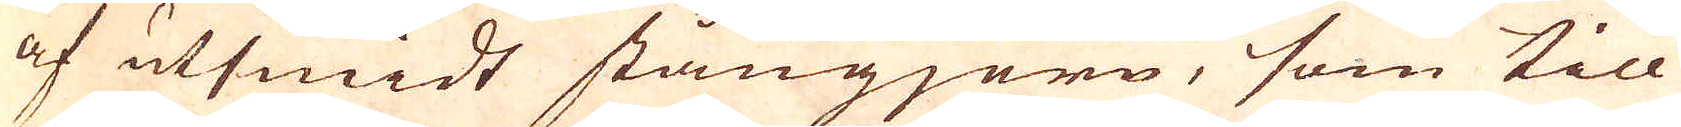af utsmidt stångjern, som till
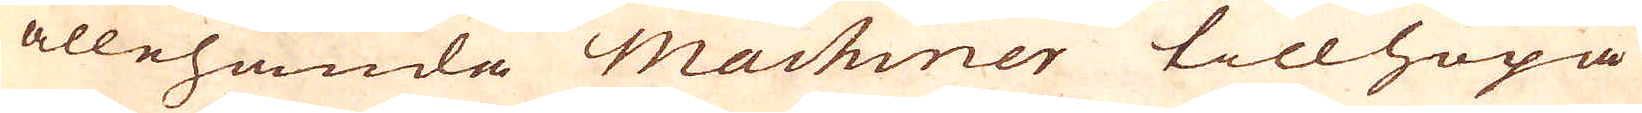allehanda Machiner tillhopa
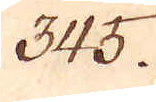345.
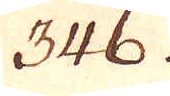346.
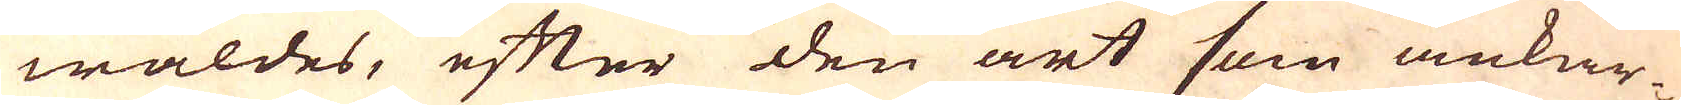wäldes, efter den art som ankar-
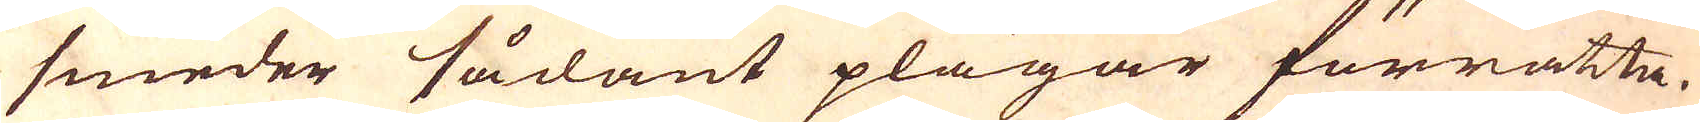smeder sådant plägar förrätta.
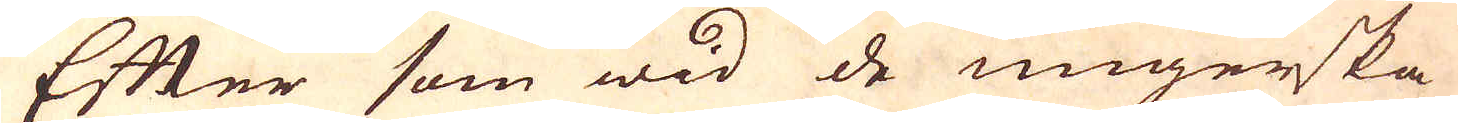Efter som wid de ungerska
